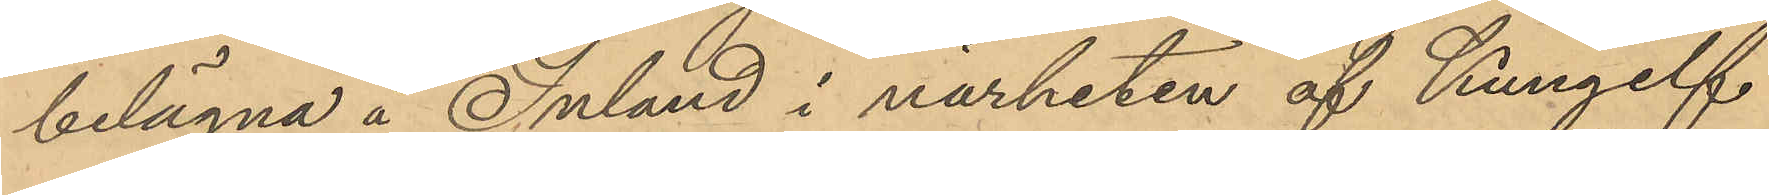belägna å Inland i närheten af Kungelf
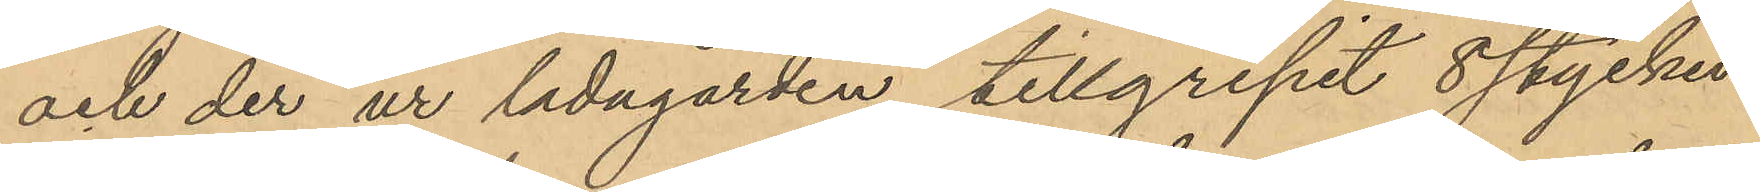och der ur ladugården tillgripit 8 stycken
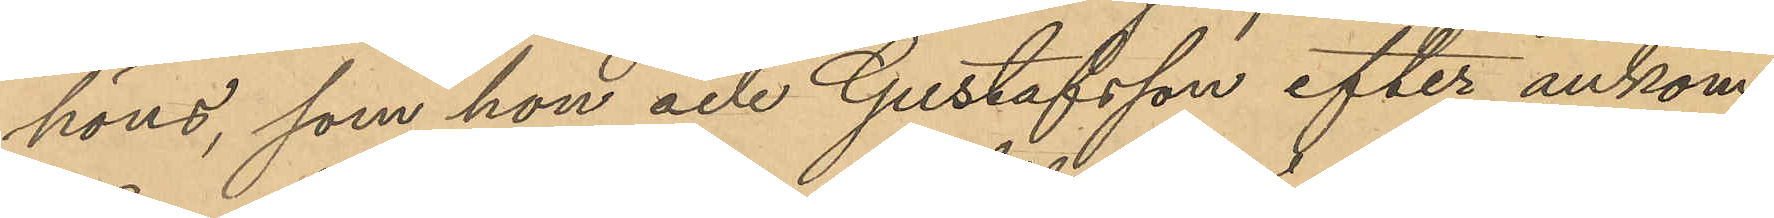höns, som hon och Gustafsson efter ankom¬
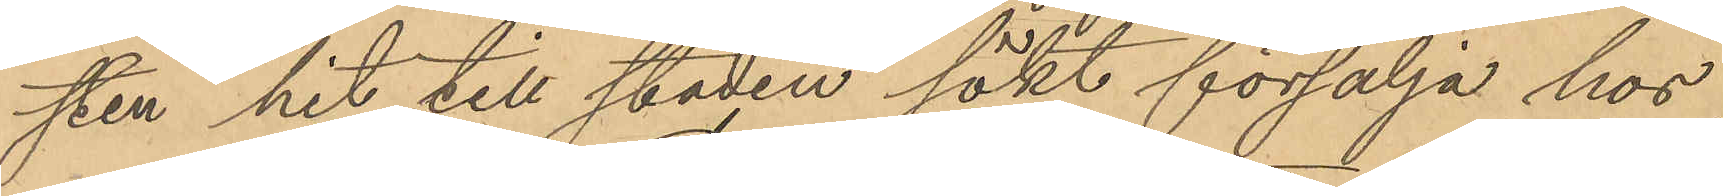sten hit till staden sökt försälja hos
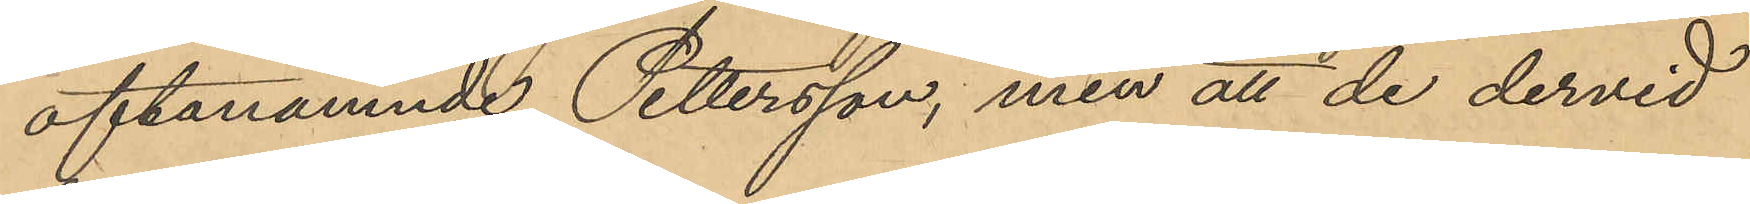oftanämnde Pettersson, men att de dervid
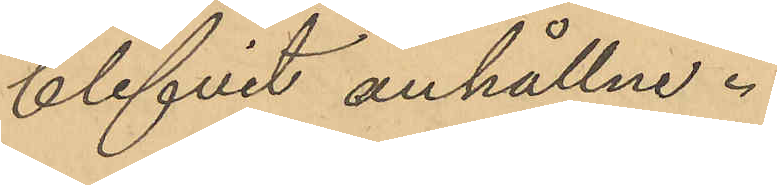blifvit anhållne.
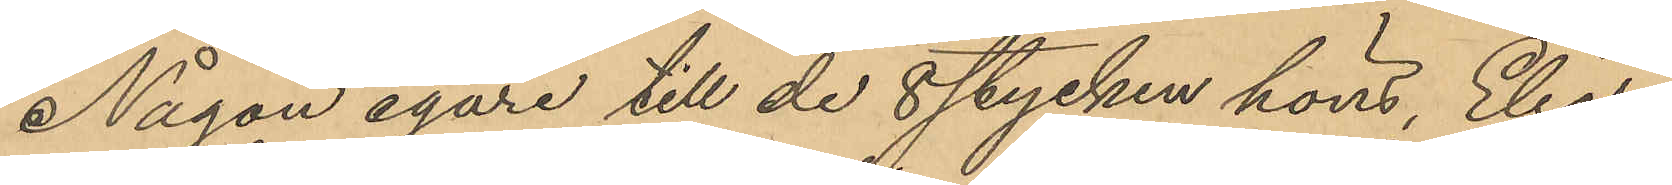Någon egare till de 8 stycken höns, Elias¬
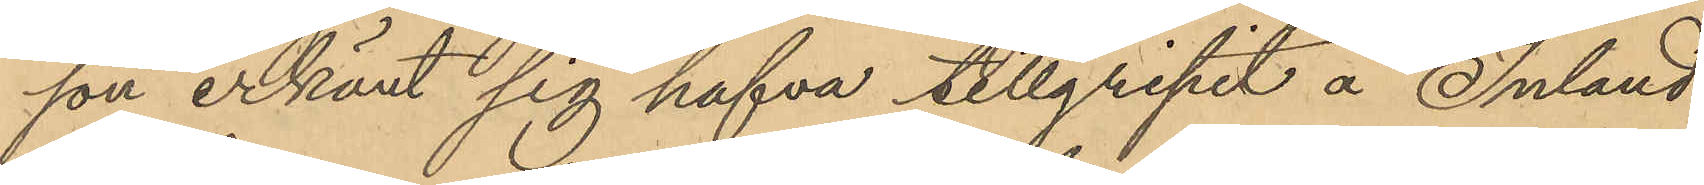son erkänt sig hafva tillgripit å Inland
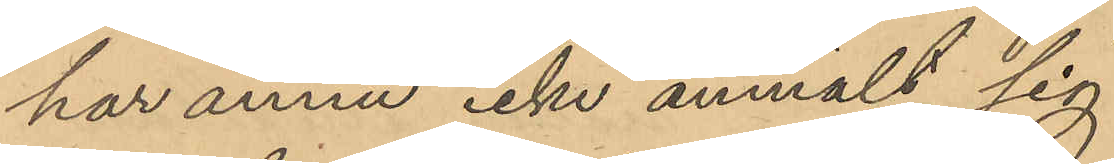har ännu icke anmält sig.
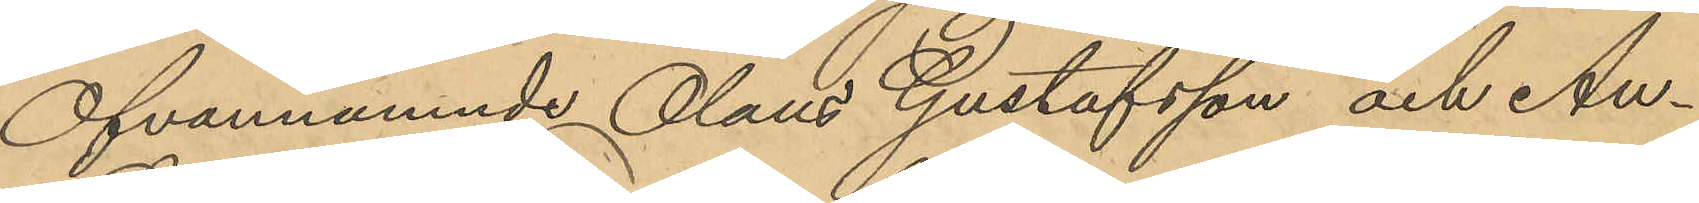Ofvannämnde Olaus Gustafsson och An¬
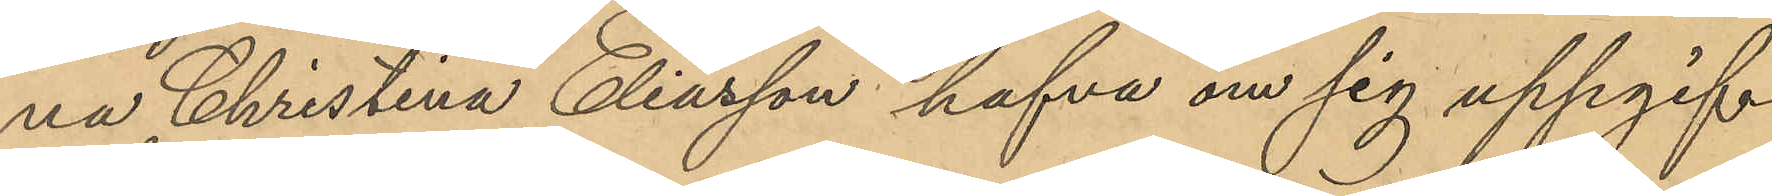na Christina Eliasson hafva om sig uppgif¬
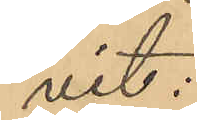vit:
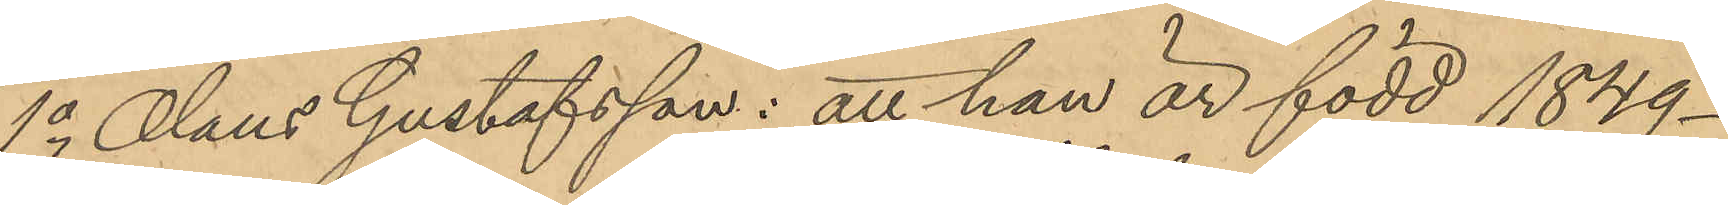1o Olaus Gustafsson: att han är född 1849 -
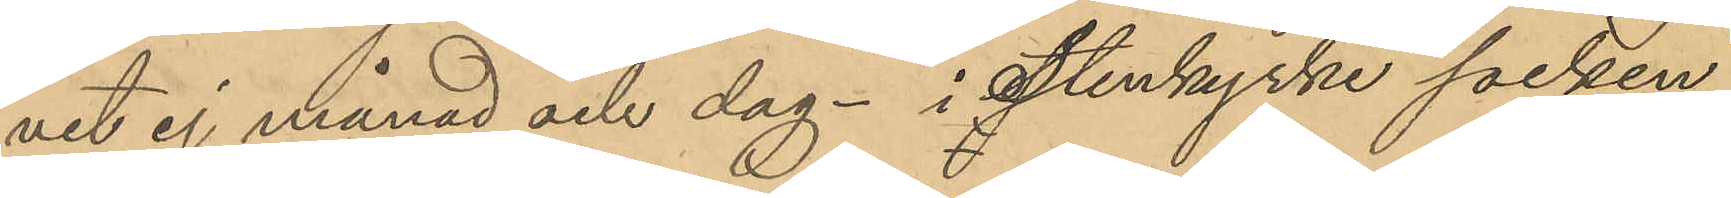vet ej månad och dag - i Stenkyrke socken
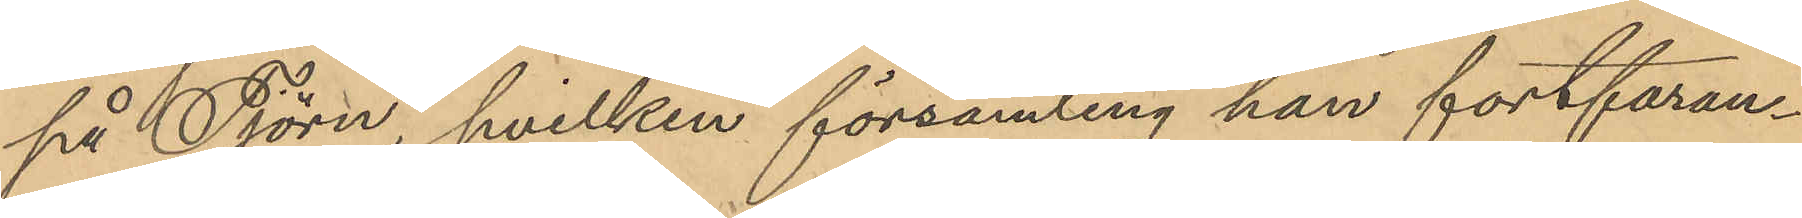på Tjörn, hvilken församling han fortfaran¬
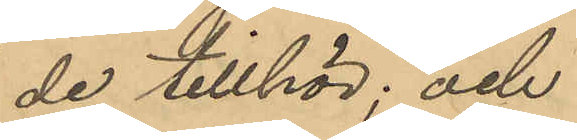de tillhör; och
